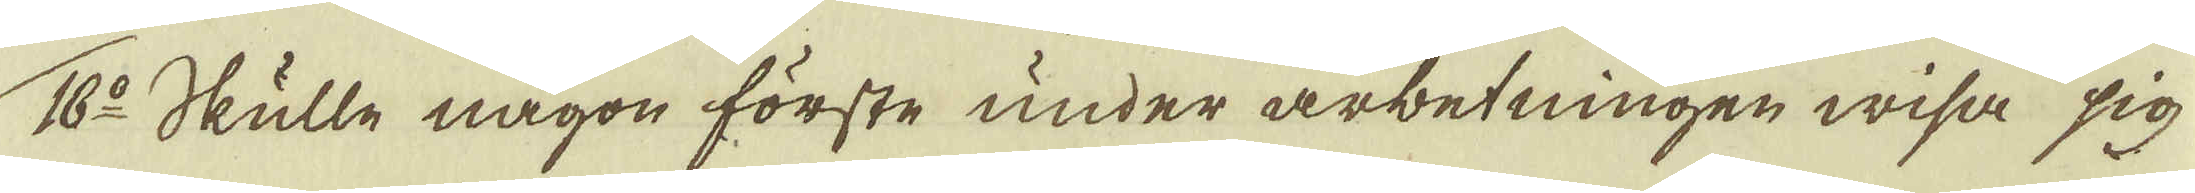16:o Skulle någon förste under arbetningen wisa sig
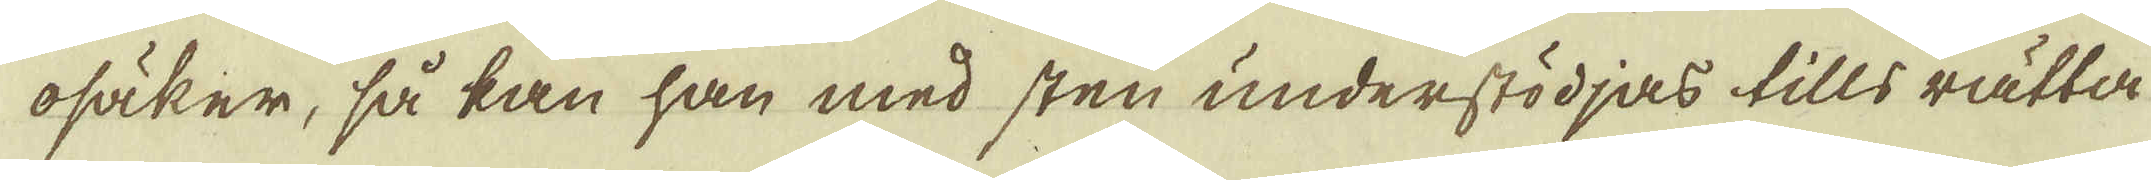osäker, så kan han med sten understödjas tills rätta
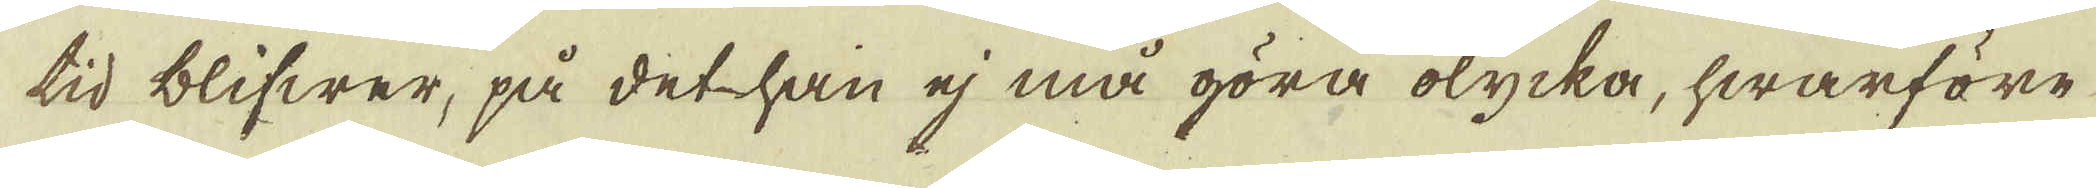tid blifwer, på det han ej må göra olycka, hwarföre
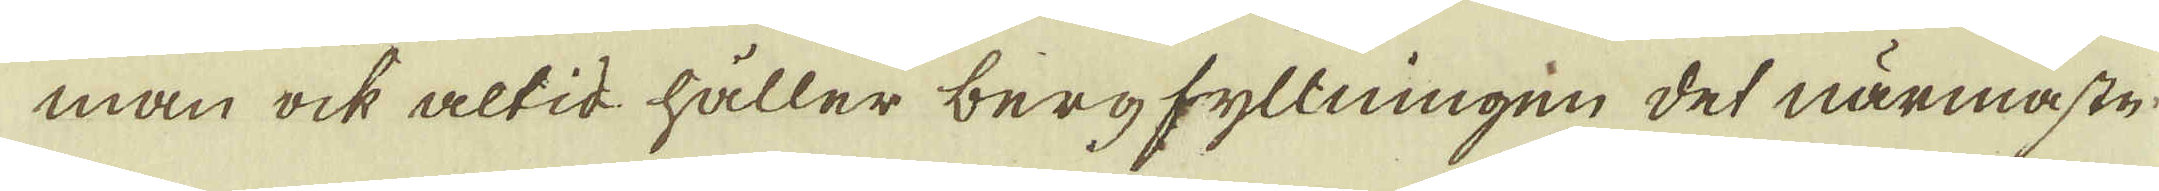man ock altid håller bergfyllningen det närmaste
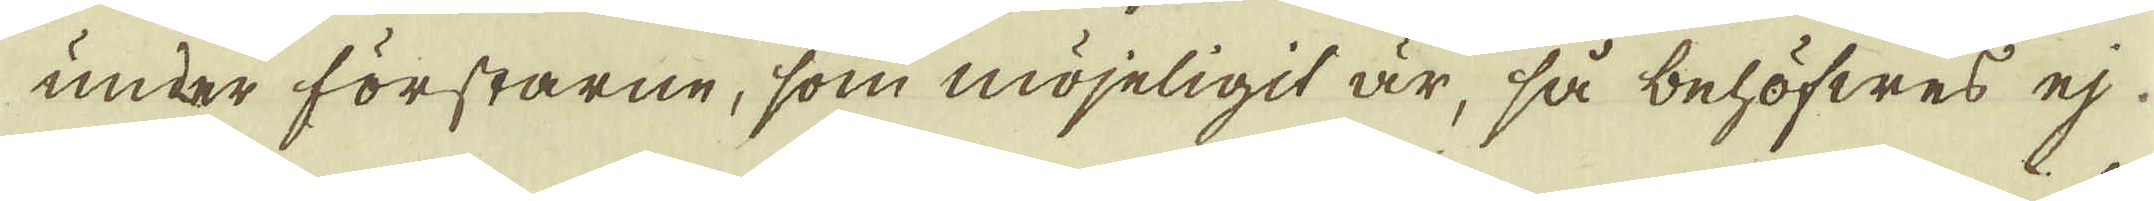under förstarne, som möjeligit är, så behöfwes ej
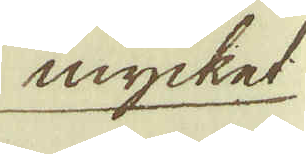mycket
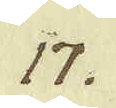17.
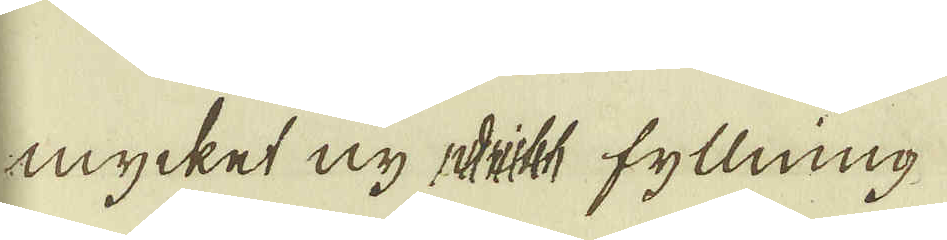mycket ny fyllning.
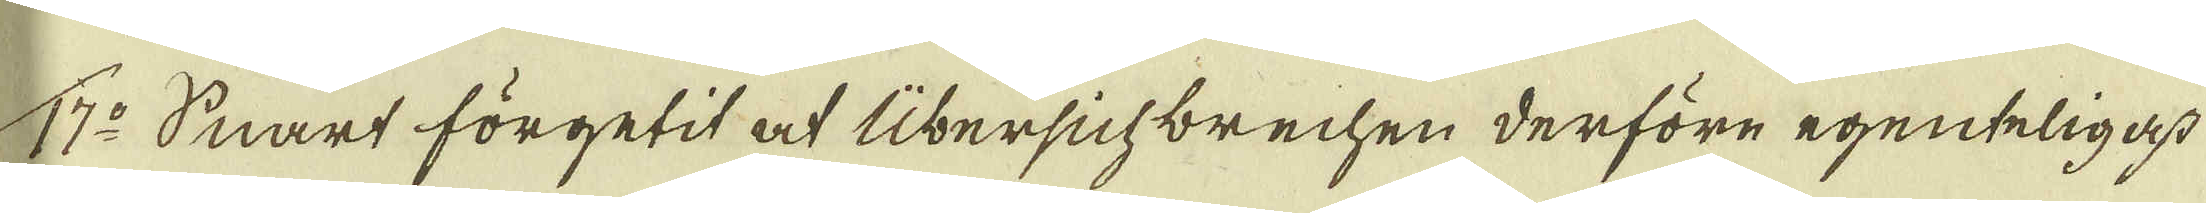17:o Snart förgetit at Übersichbrechen derföre egenteligast
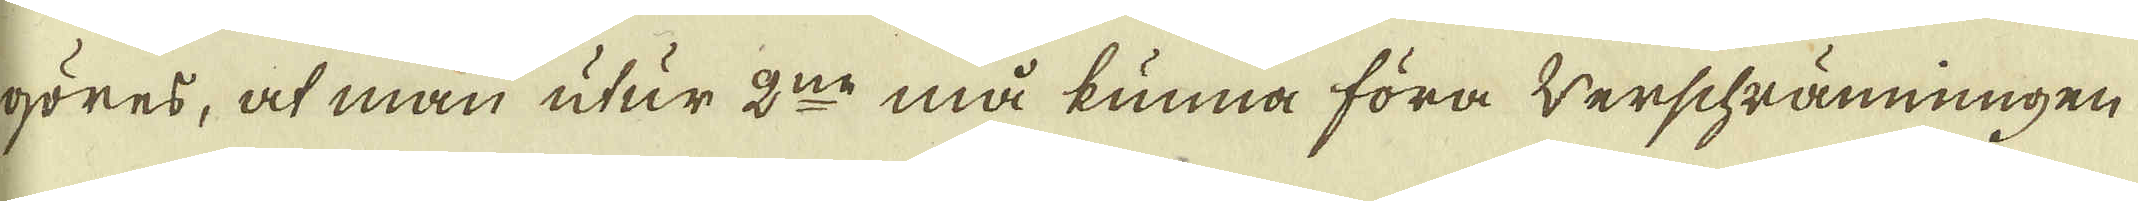göres, at man utur 2:ne må kunna föra werschrämningen
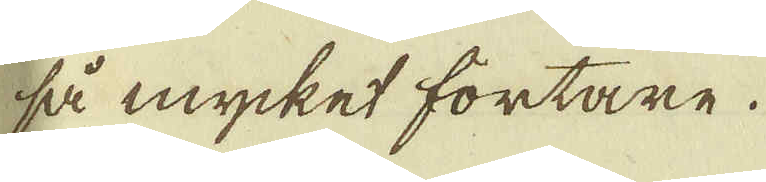så mycket fortare.
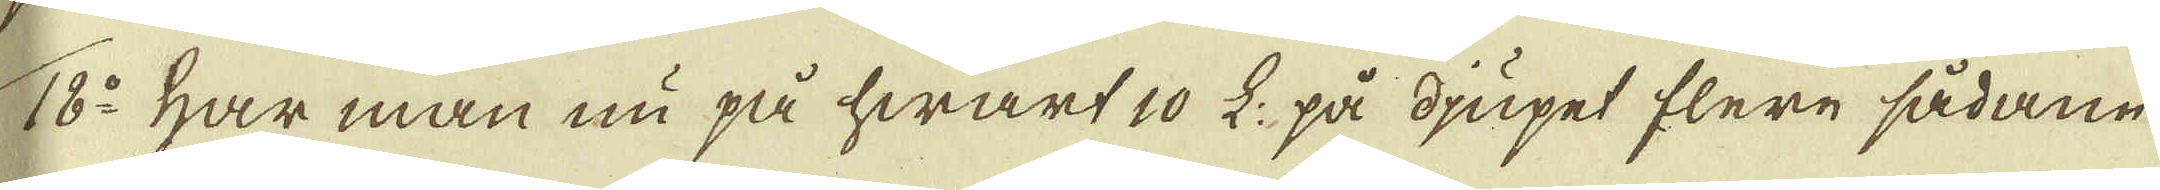18:o Har man nu på hwart 10 L: på djupet flere sådane
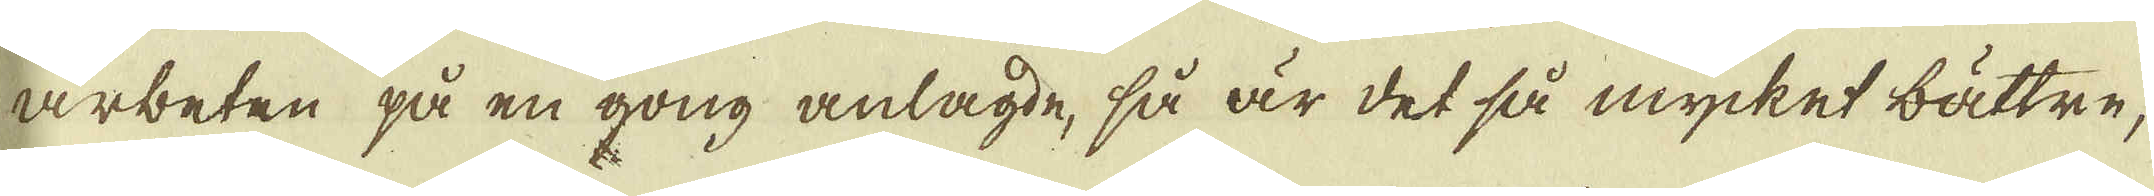arbeten på en gong anlagde, så är det så mycket bättre,
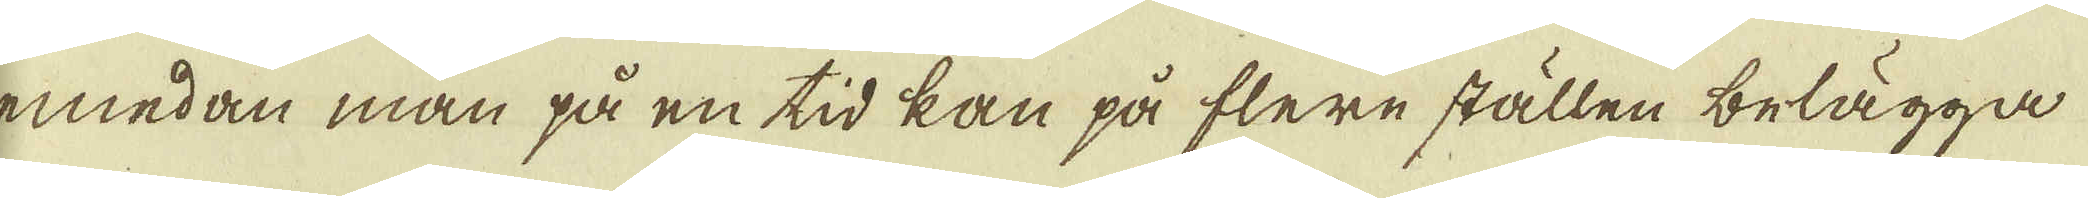emedan man på en tid kan på flere ställen belägga
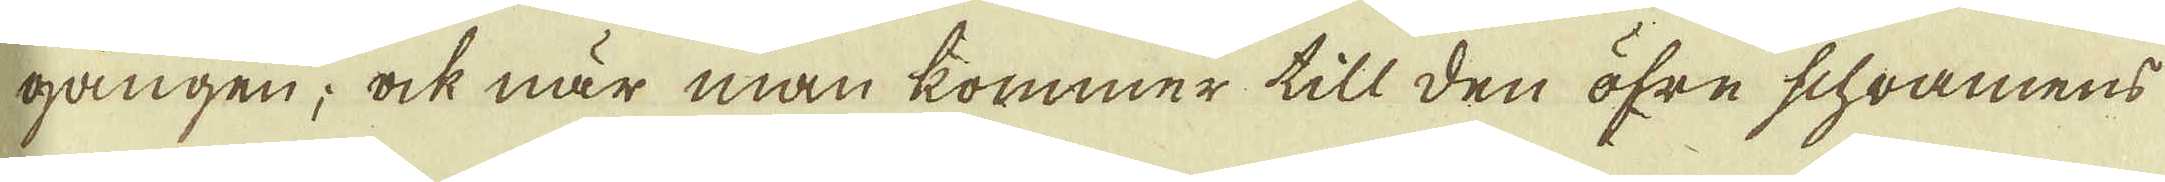gången; ock när man kommer till den öfre schramens
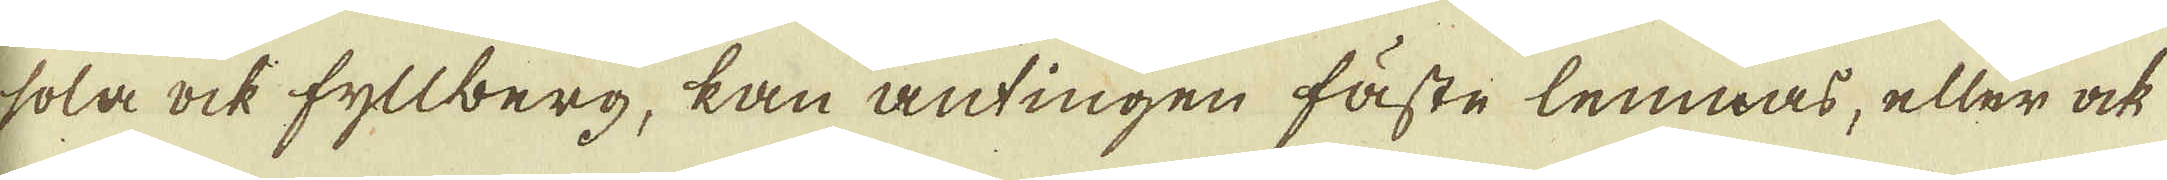sola ock fyllberg, kan antingen fåste lemnas, eller ock
